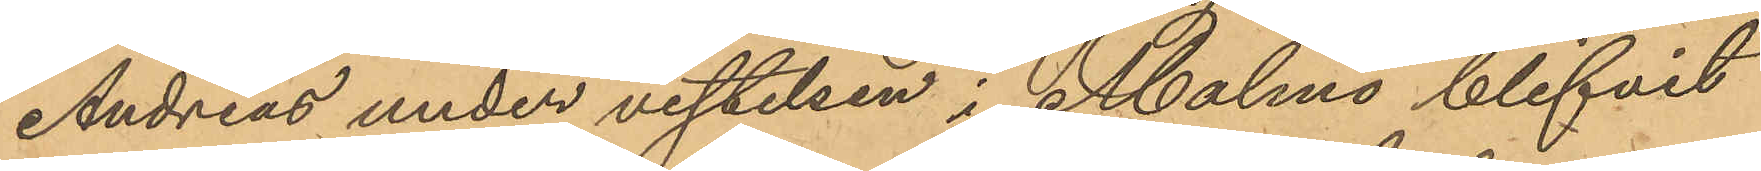Andreas under vistelsen i Malmö blifvit
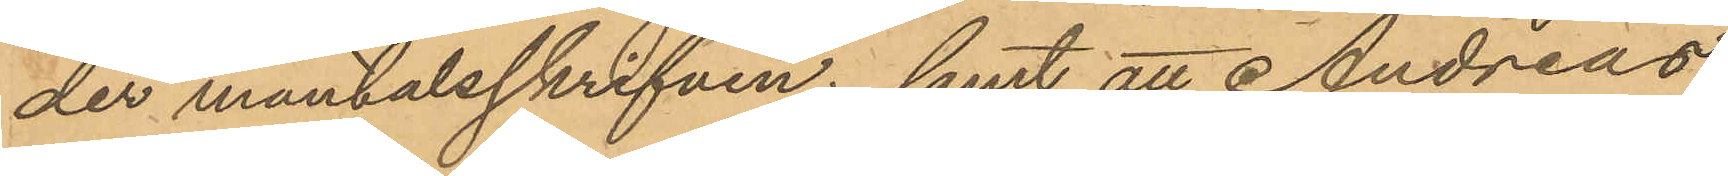der mantalsskrifven; samt att Andreas,
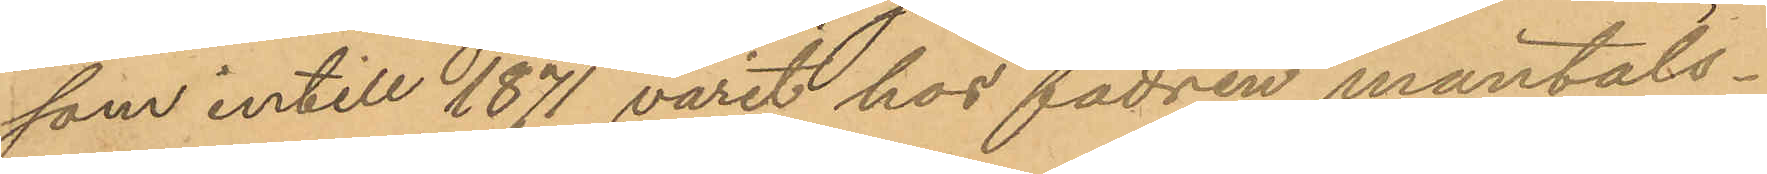som intill 1871 varit hos fadren mantals¬
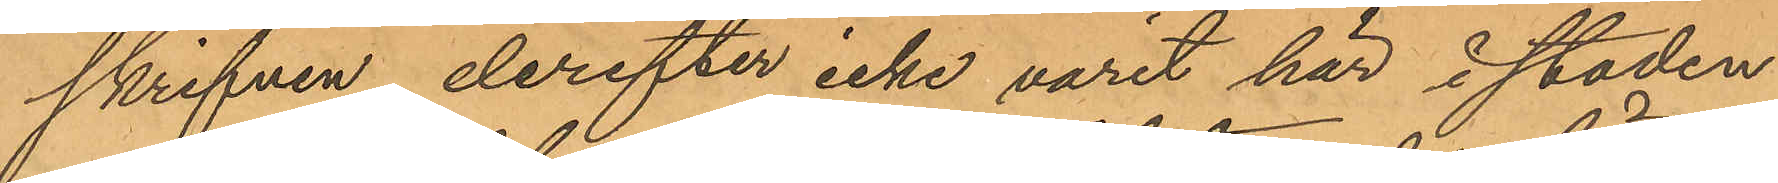skrifven, derefter icke varit här i staden
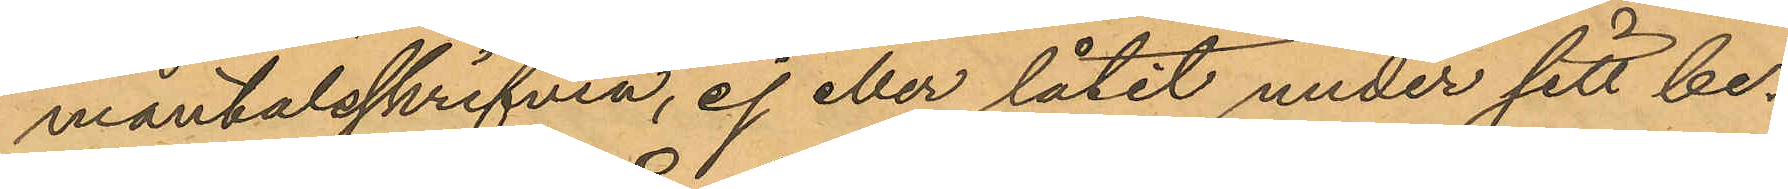mantalsskrifven, ej eller låtit under sitt be¬
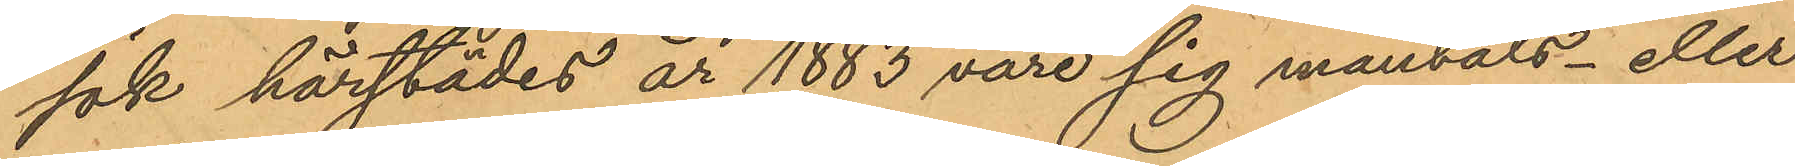sök härstädes år 1883 vore sig mantals- eller
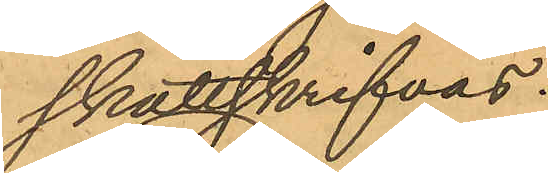skattskrifvas.
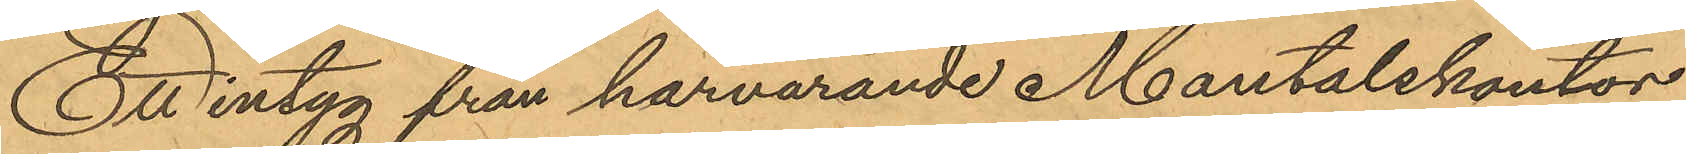Ett intyg från härvarande Mantalskontor
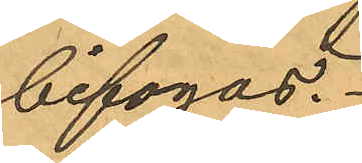bifogas.
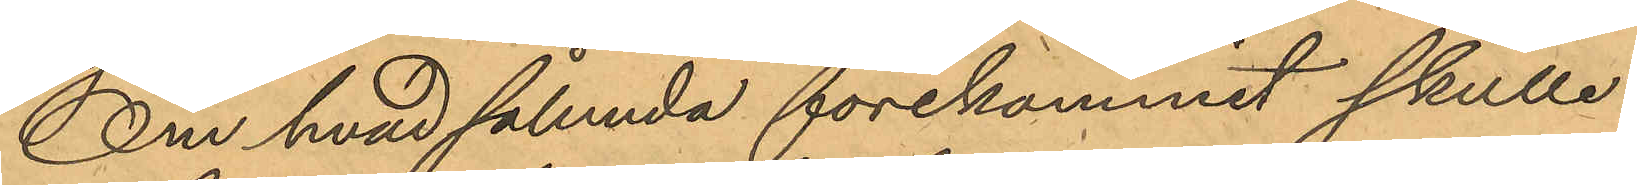Om hvad sålunda förekommit skulle
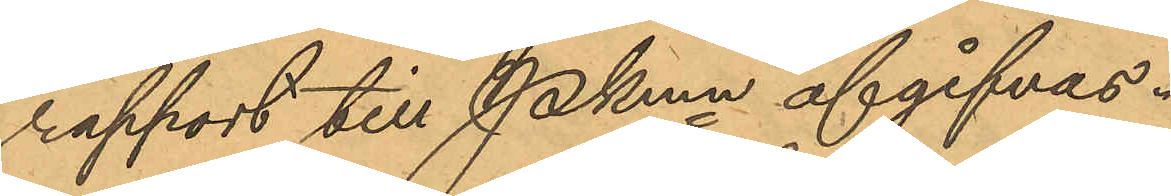rapport till Pkmn afgifvas.
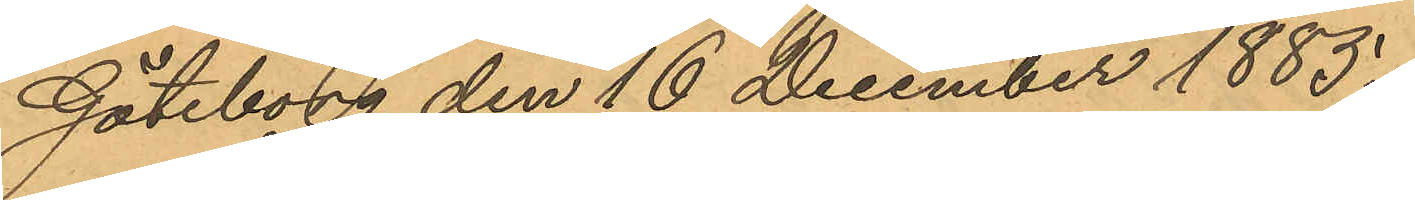Göteborg den 16 December 1885.
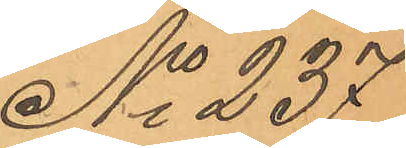No 237.
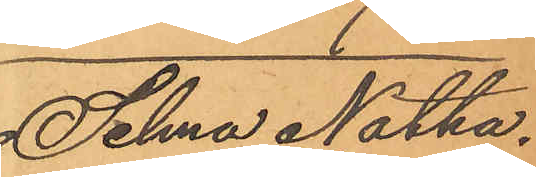Selma Natha¬
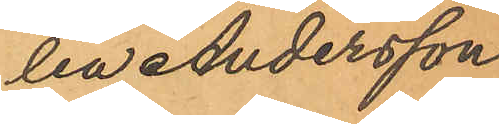lia Andersson
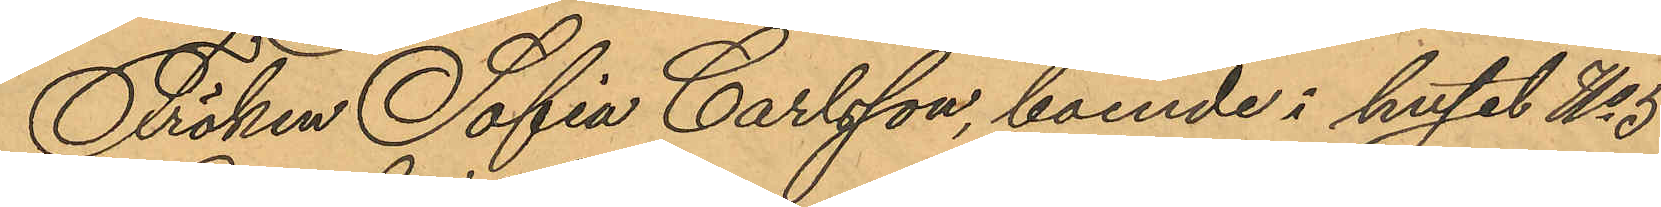Fröken Sofia Carlsson, boende i huset No 5
